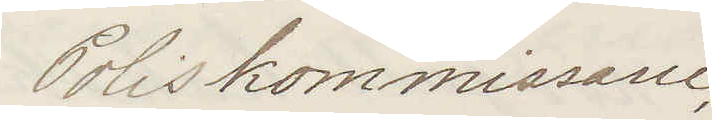Poliskommissarie
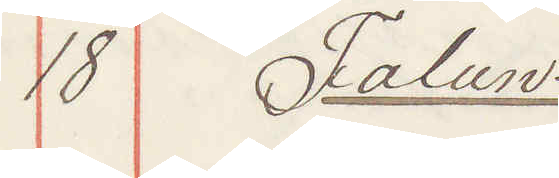18 Falun:
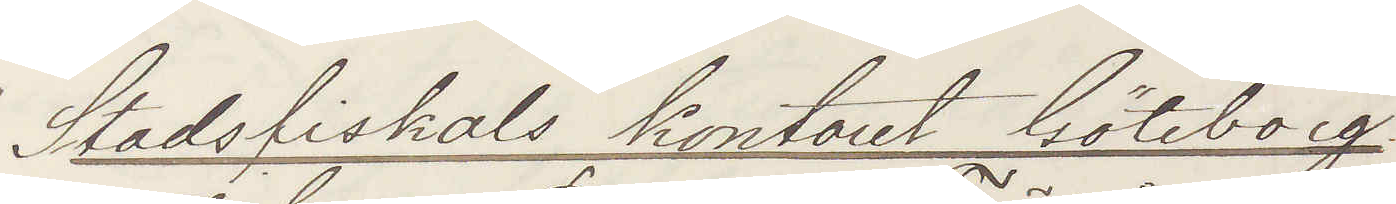Stadsfiskals kontoret Göteborg.
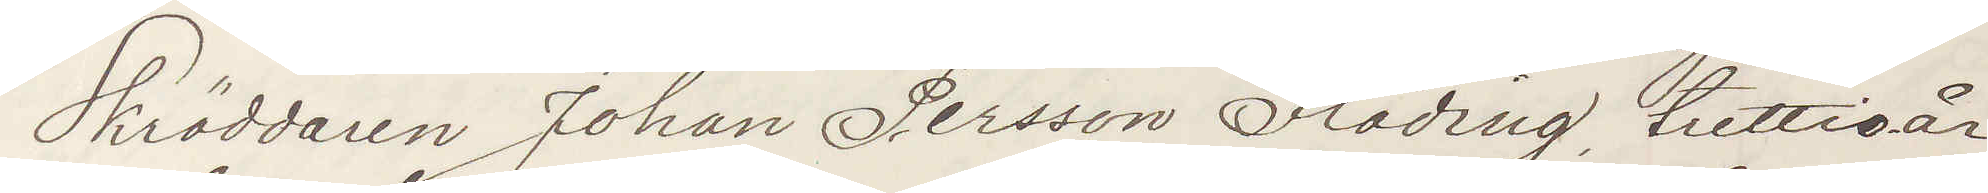Skräddaren Johan Persson Fröding, trettio år,
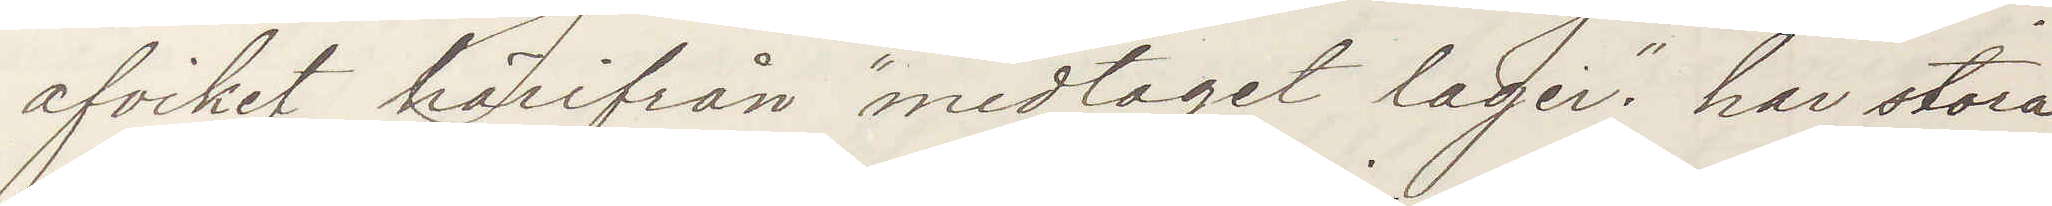afvikit härifrån "medtaget lager". har stora
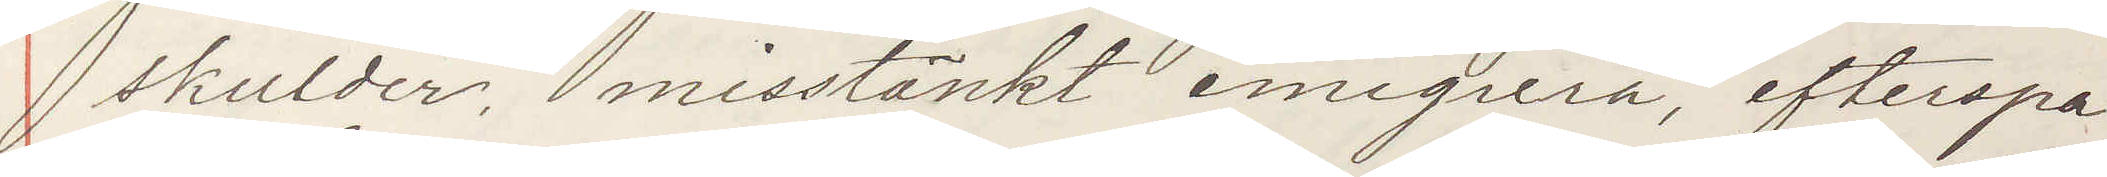skulder, misstänkt emigrera, efterspa¬
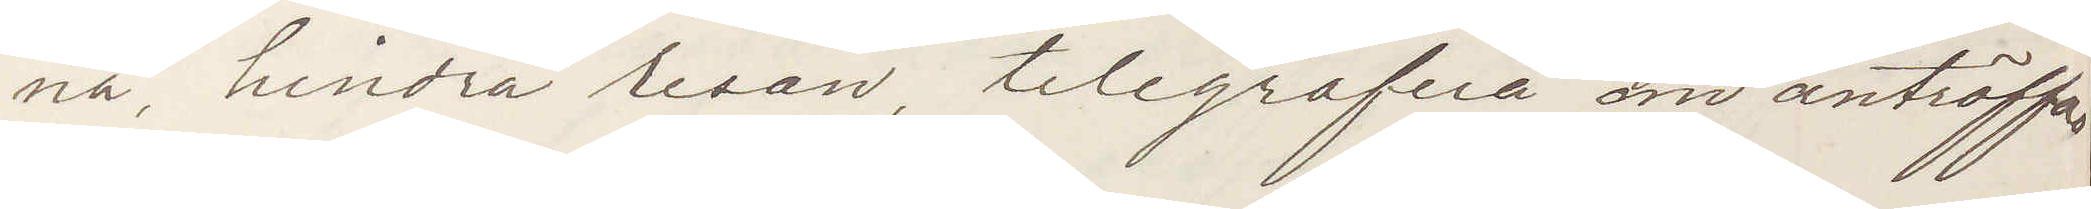na, hindra resan, telegrafera om anträffas.
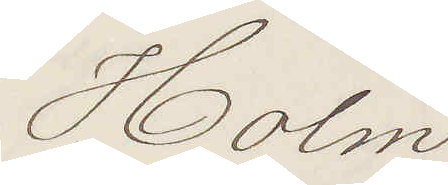Holm
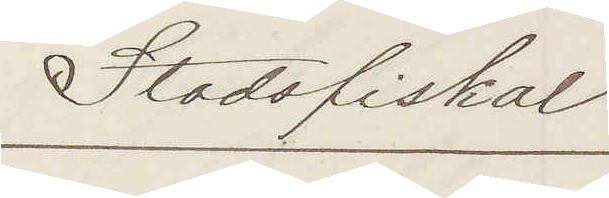Stadsfiskal
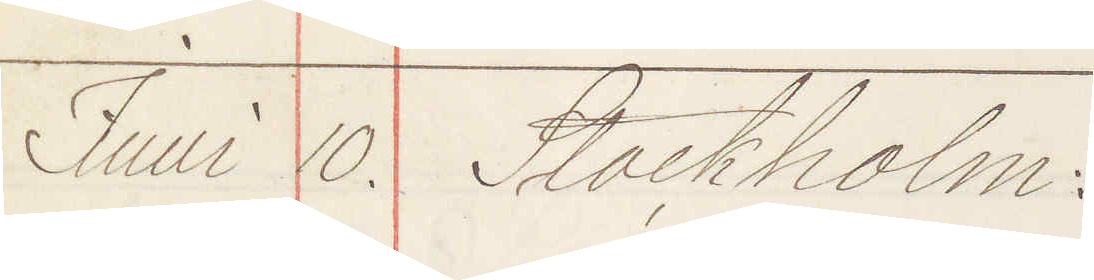Juni 10. Stockholm:
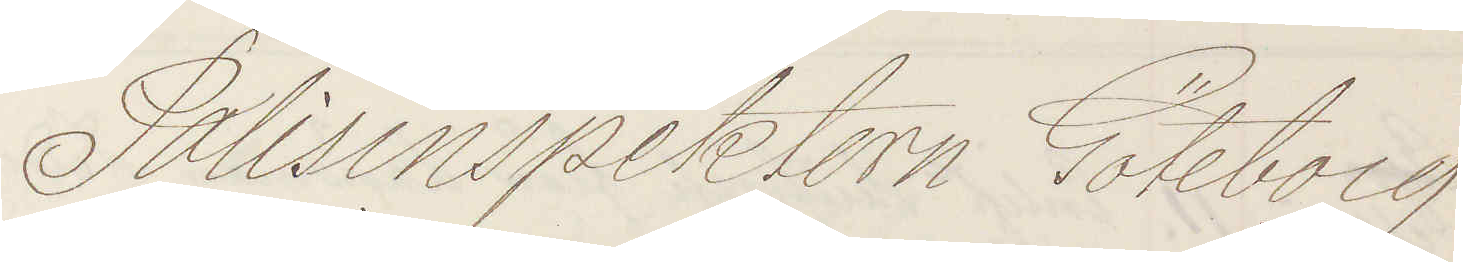Polisinspektorn Göteborg
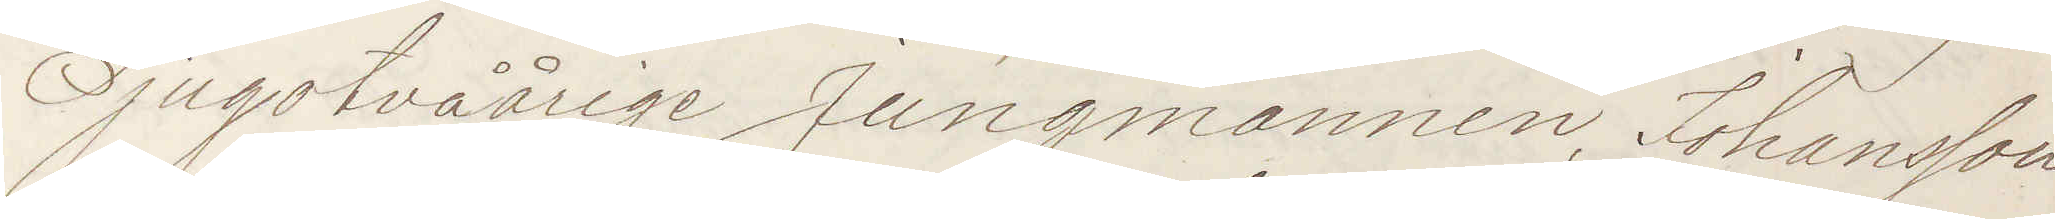Tjugotvåårige Jungmannen Johansson
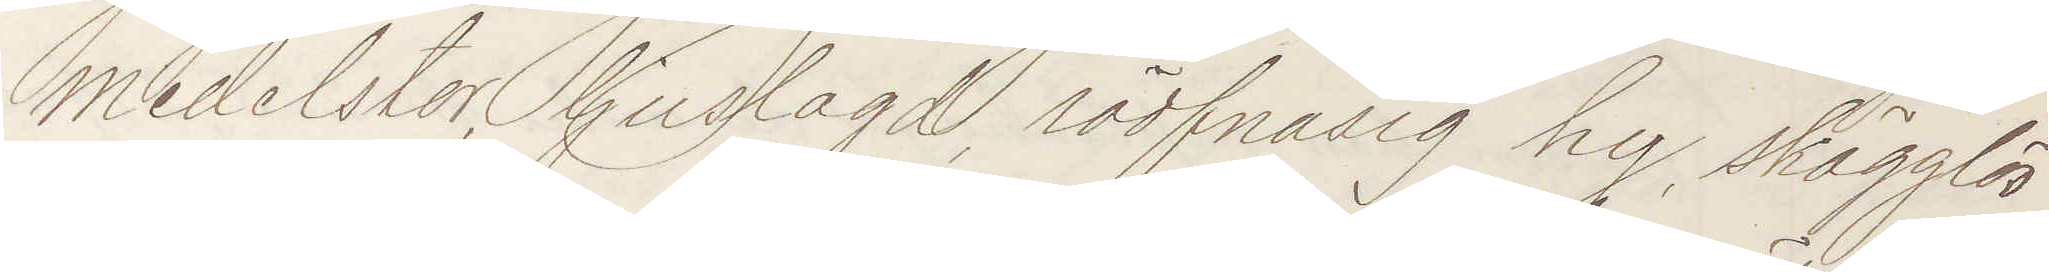medelstor, ljuslagd, rödfnasig hy, skägglös
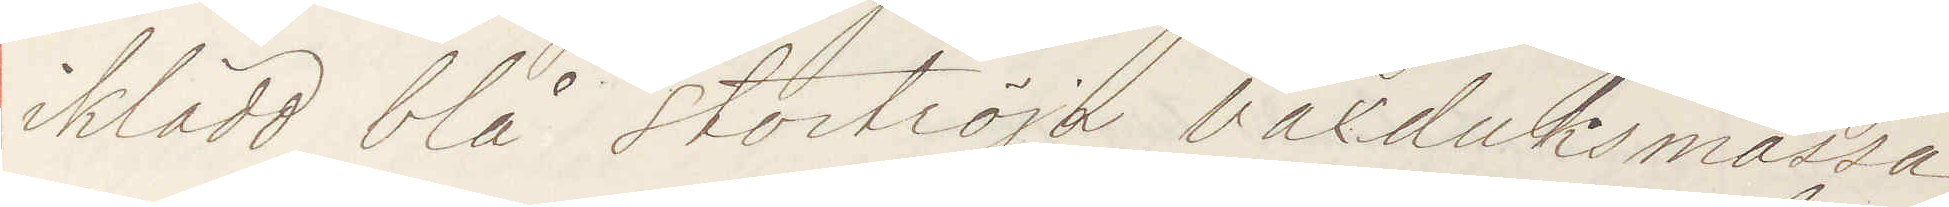iklädd blå stortröja vaxduksmössa,
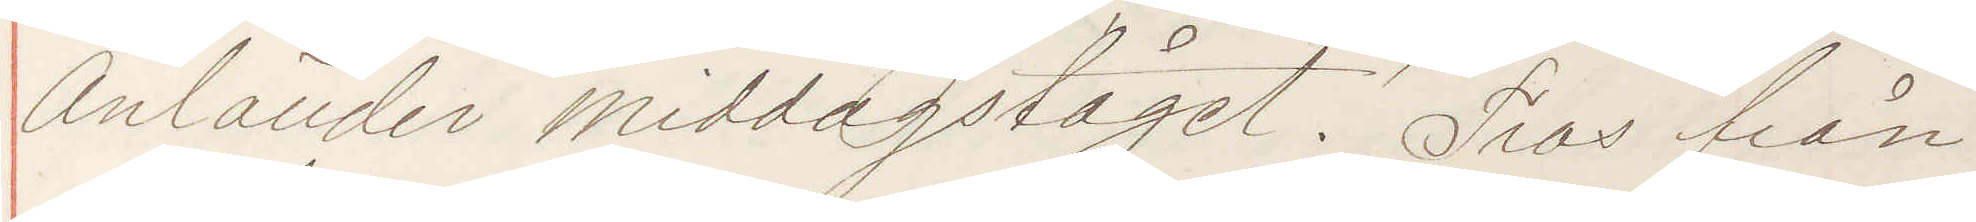Anländer middagståget. Tros från
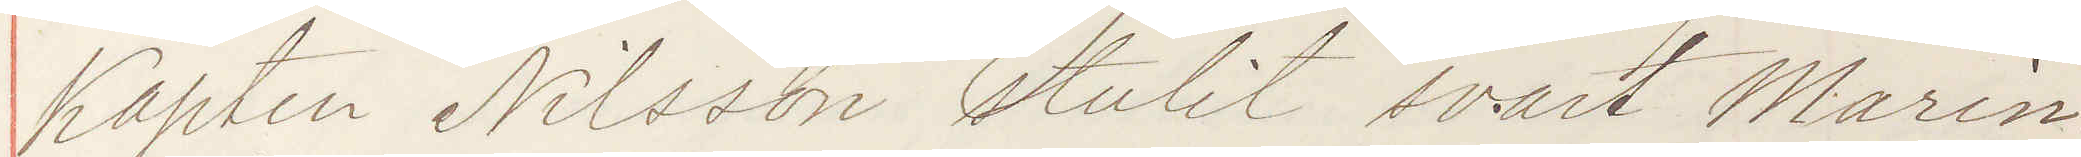Kapten Nilsson stulit svart Marin¬
